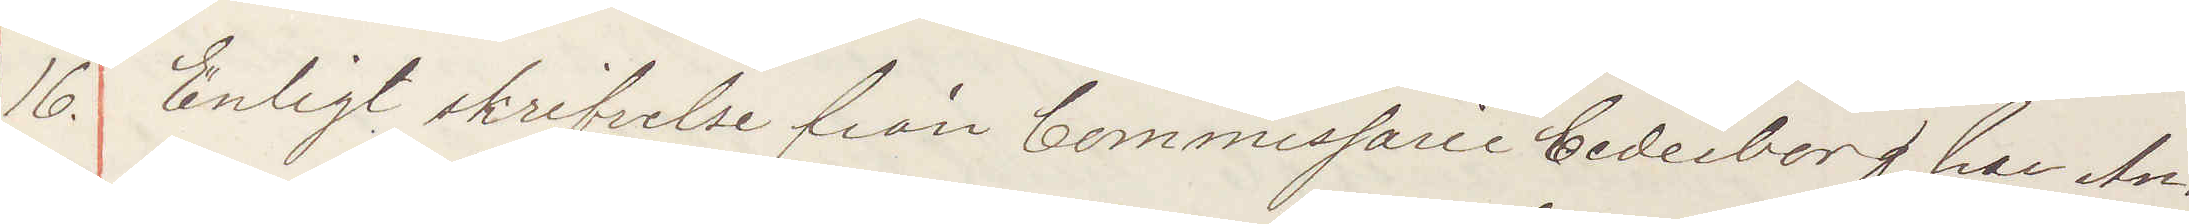16. Enligt skrifvelse från Commissarie Cederborg, har An¬
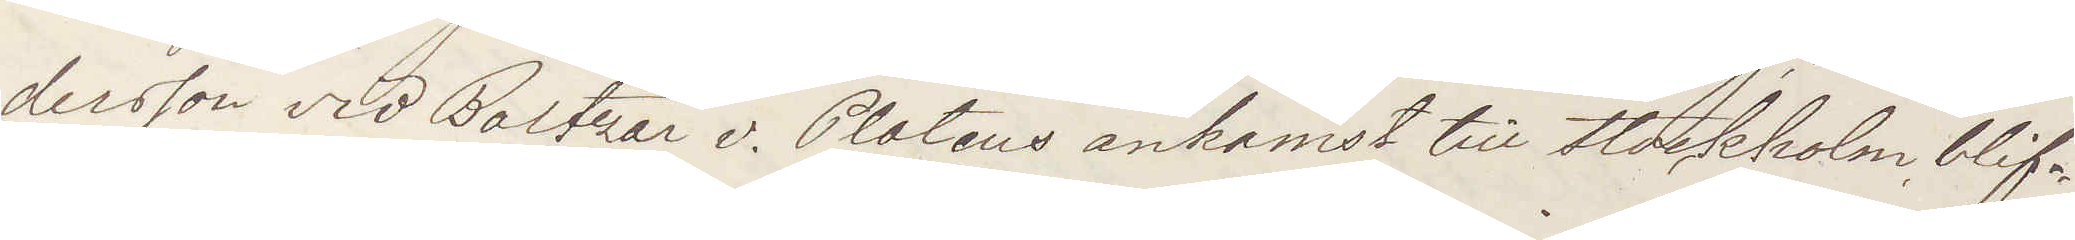dersson vid Baltzar v. Platens ankomst till Stockholm blif¬
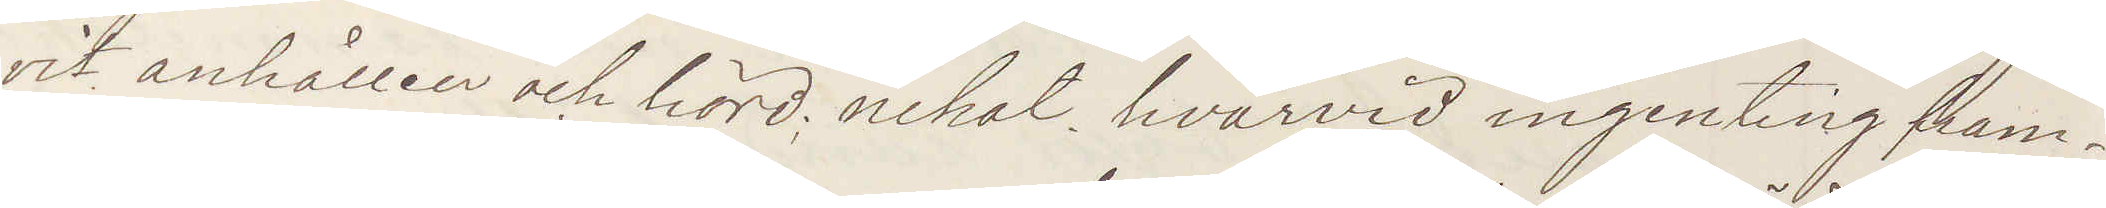vit anhållen och hörd; nekat, hvarvid ingenting fram¬
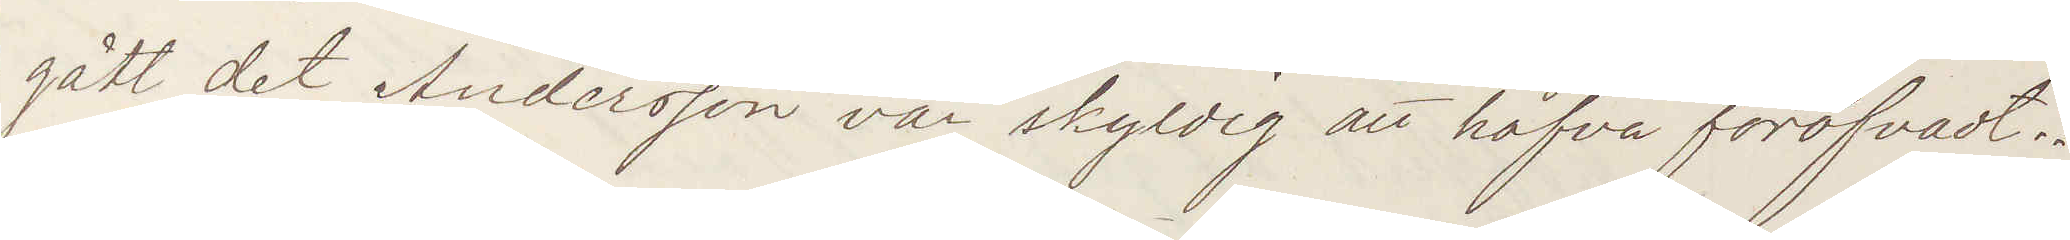gått det Andersson var skyldig att hafva föröfvadt
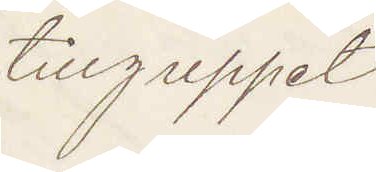tillgreppet.
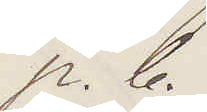p. b.
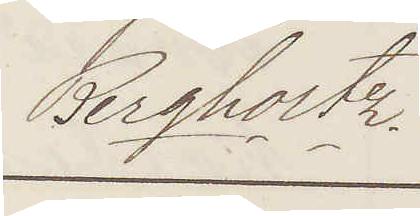Bergholtz.
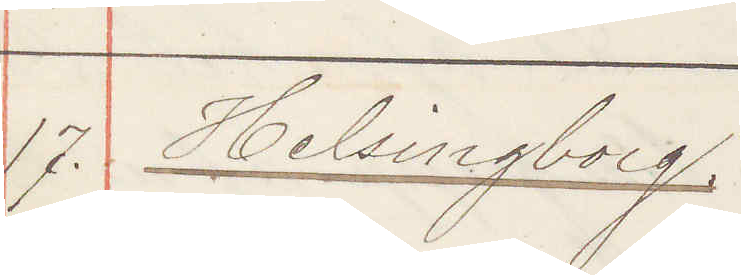17. Helsingborg
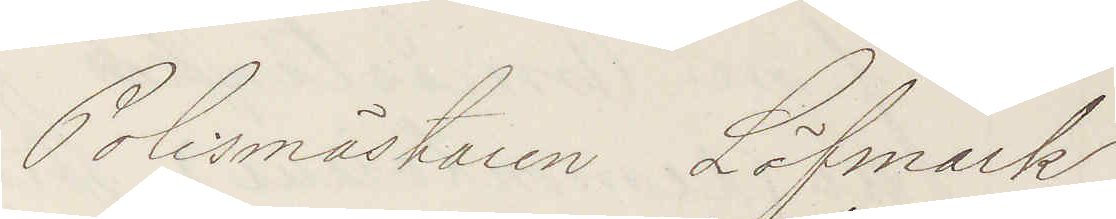Polismästaren Löfmark
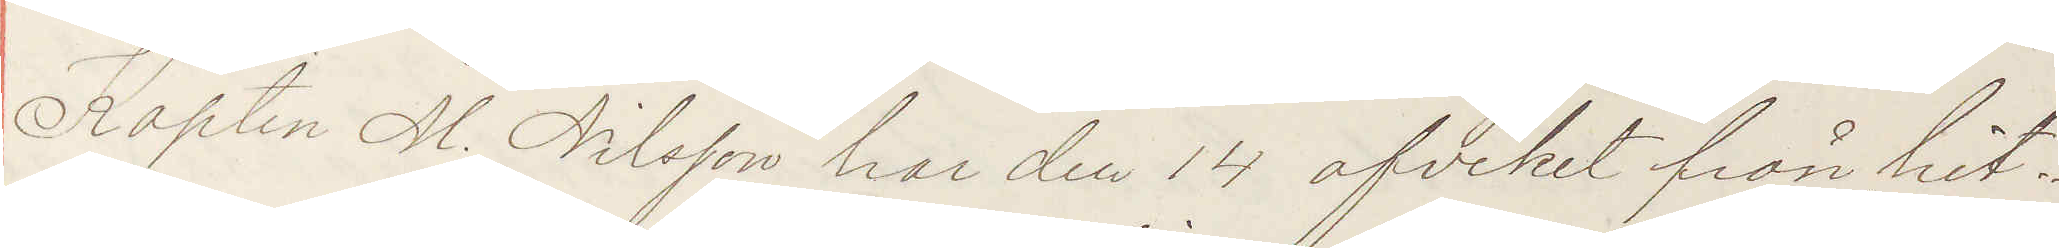Kapten M. Nilsson har den 14 afvikit från hit¬
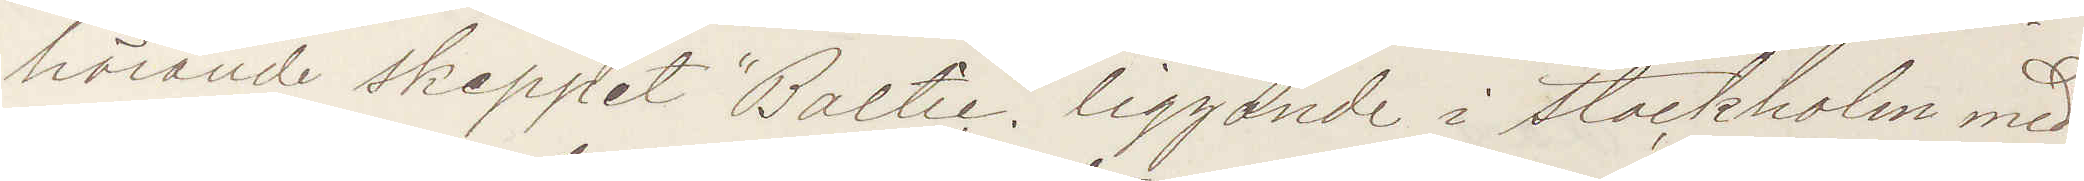hörande skeppet "Baltic" liggande i Stockholm med¬
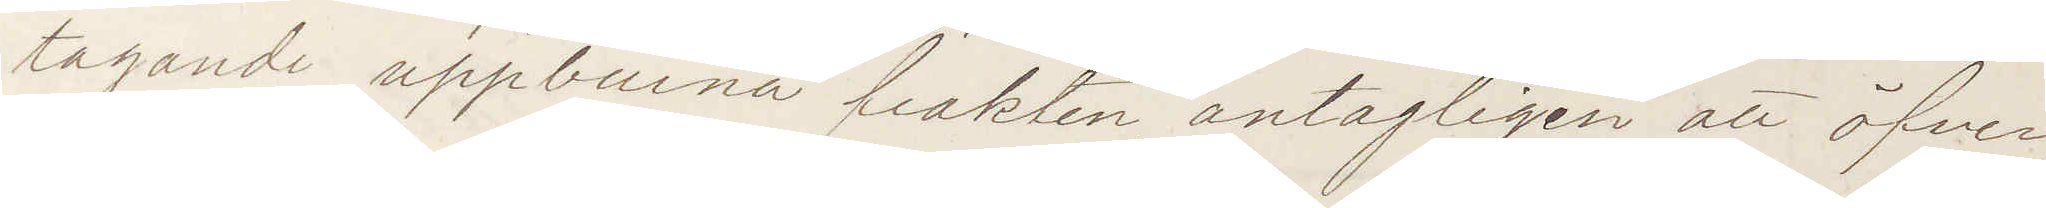tagande uppburna frakten, antagligen att öfver
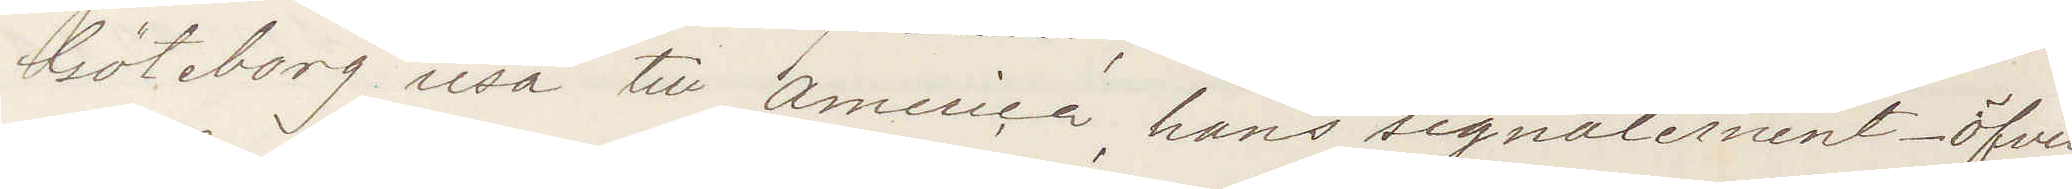Göteborg resa till America, hans signalement _ öfver
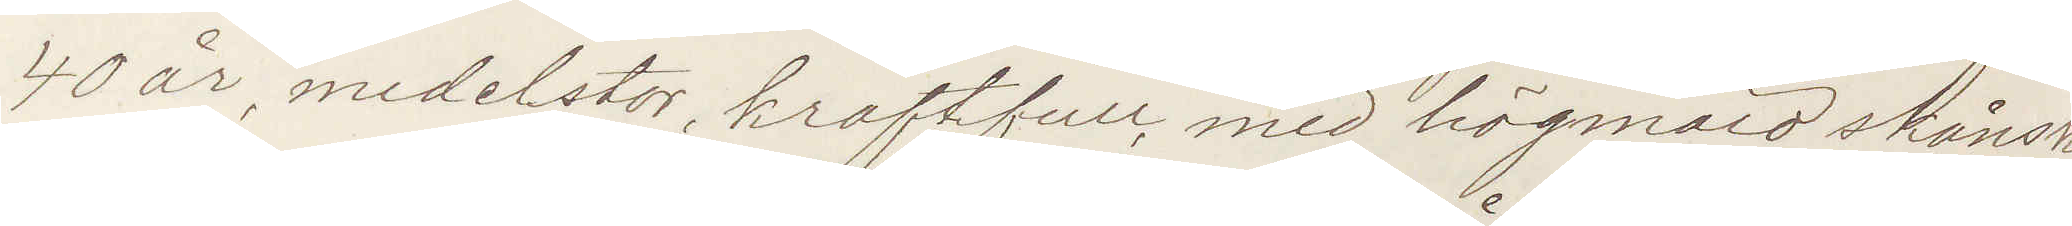40 år, medelstor, kraftfull med högmäld skånsk
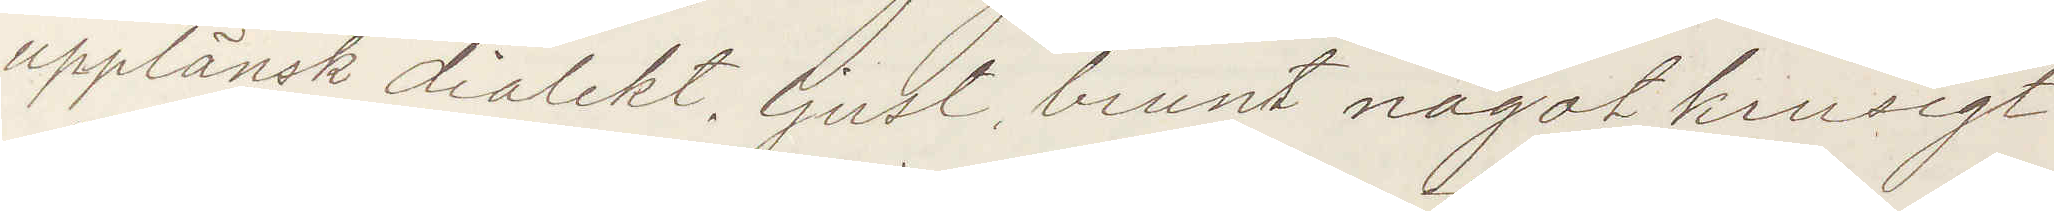upplänsk dialekt, ljust, brunt något krusigt
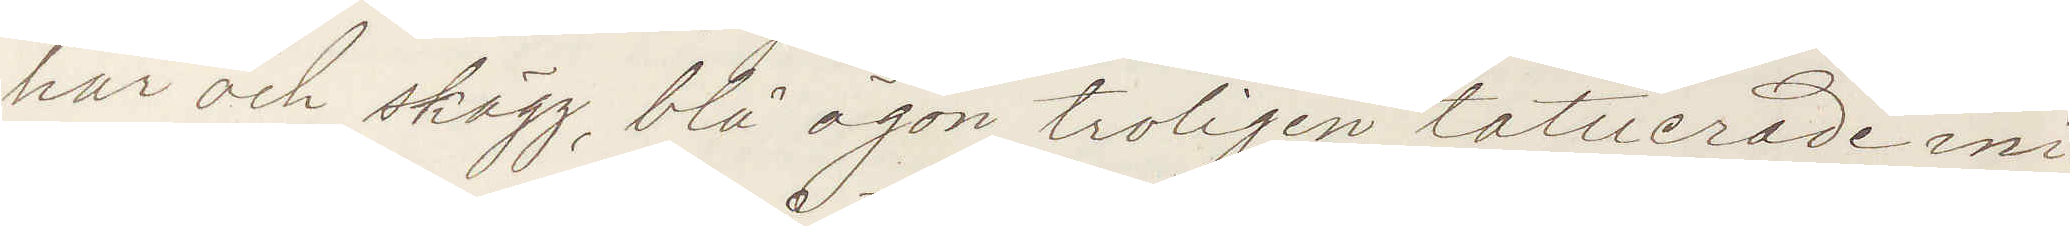hår och skägg, blå ögon, troligen tatuerade ini¬
